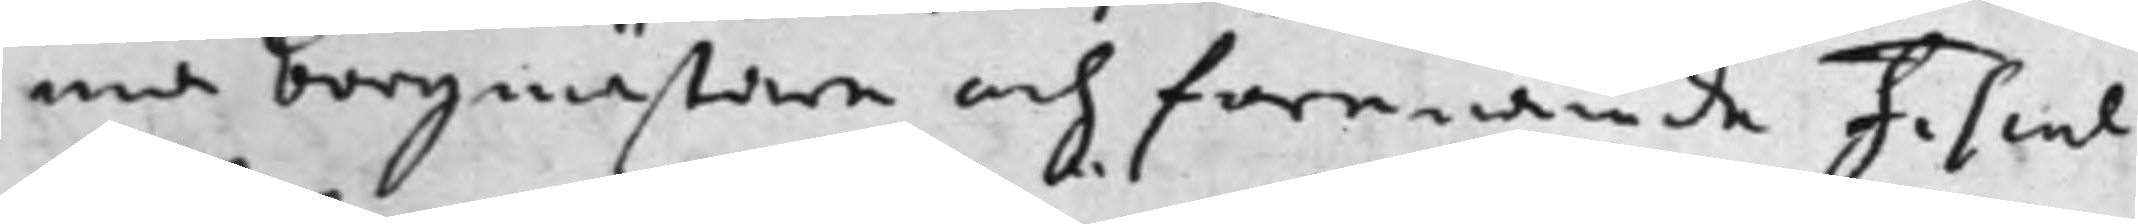ma borgmästare och förenämde Fiscal
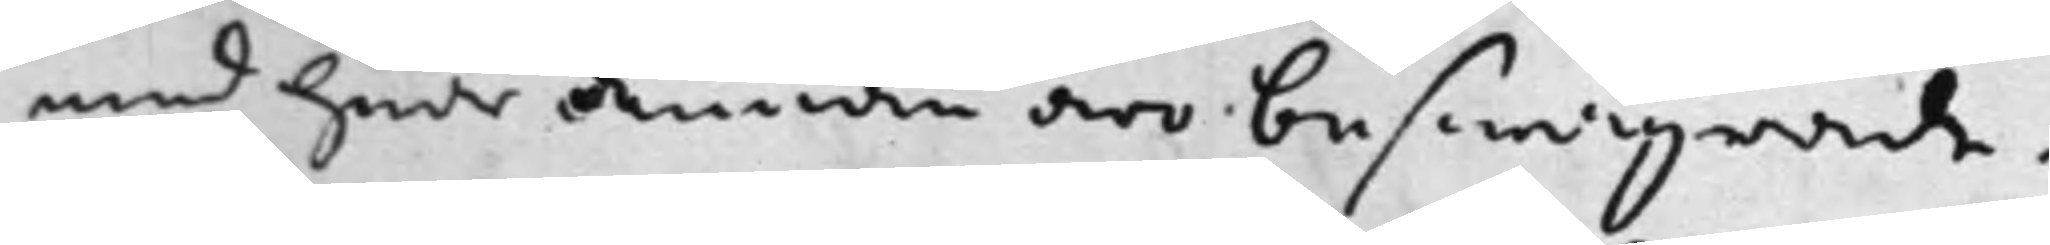med hwarandre äro beswågrade.
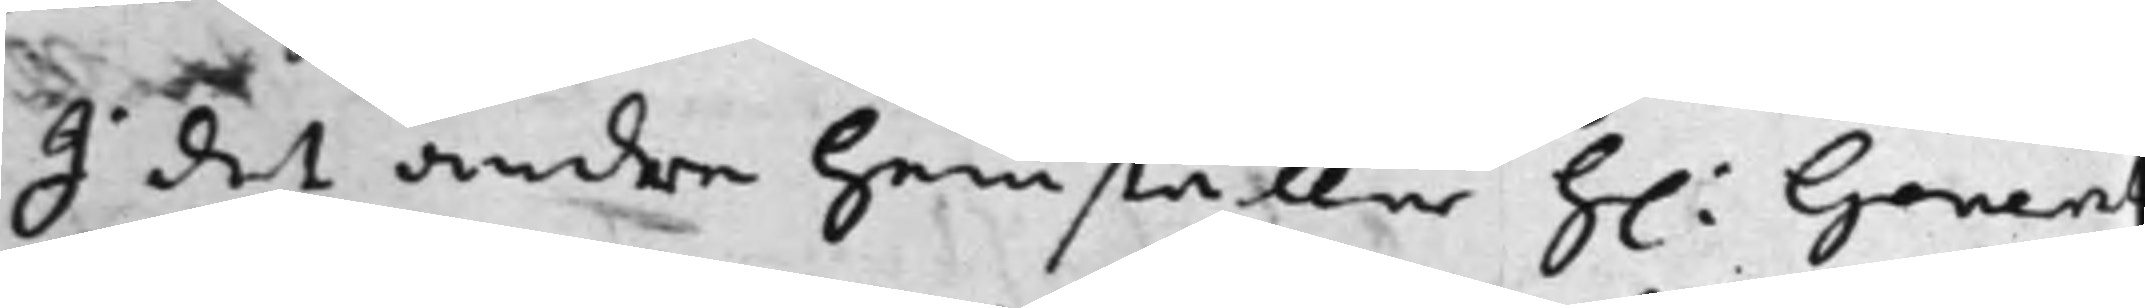I det andra hemställer h: Gener
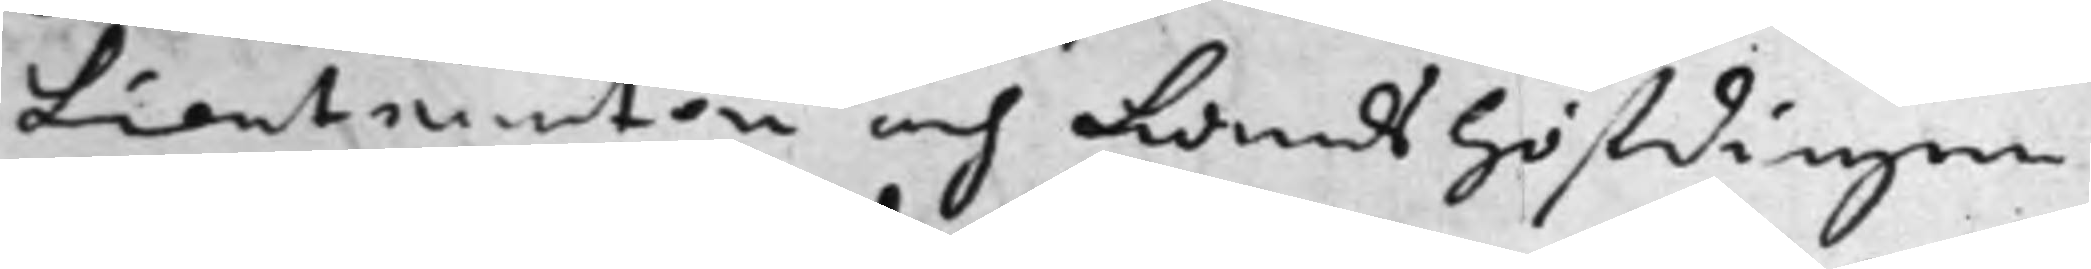Lieutnanten och Landshöfdingen
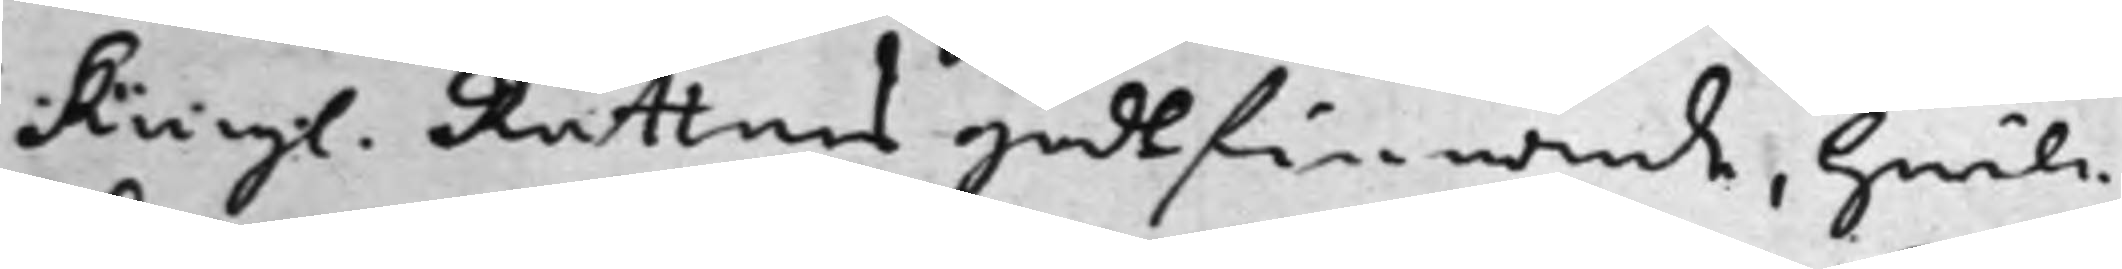Kongl. Rättens godtfinnande, hwil¬
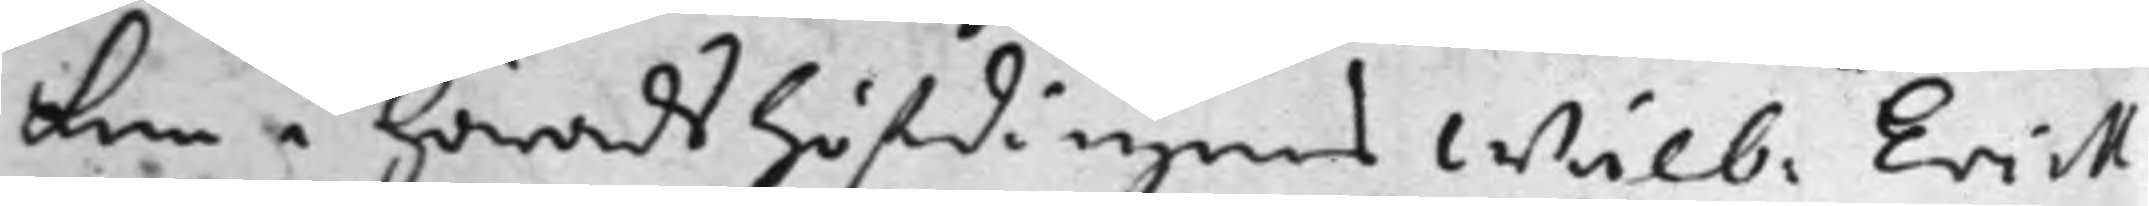ken i häradshöfdingens Wälb: Erick
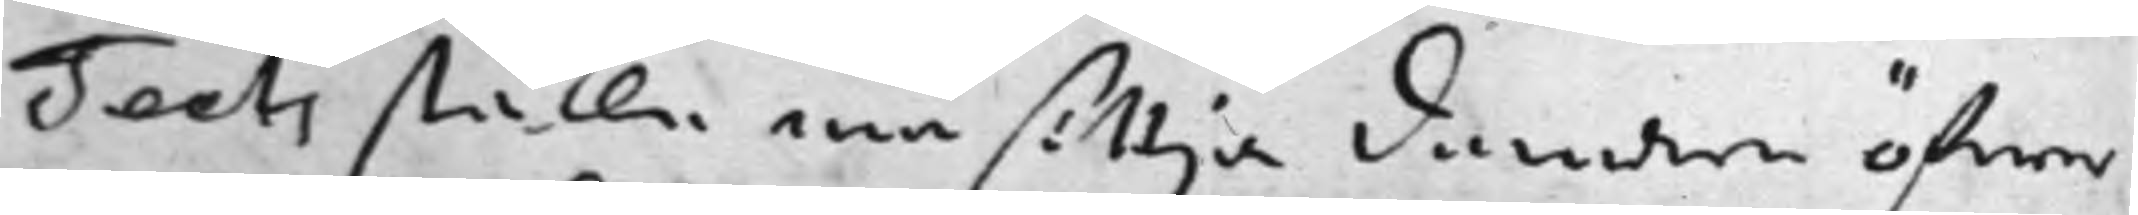Teets ställe må sittja domare öfwer
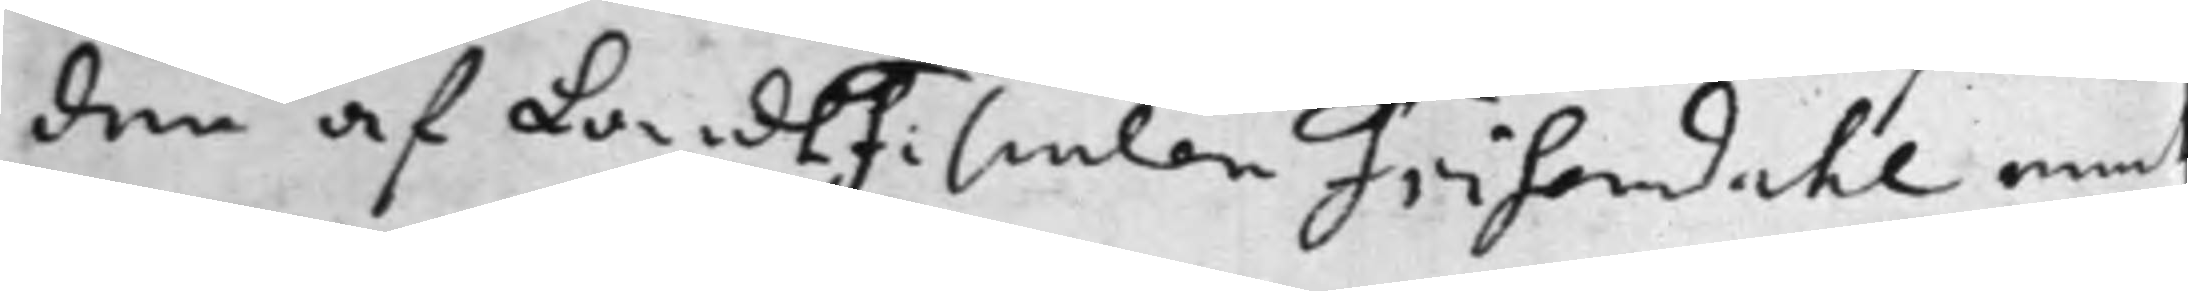den af LandsFiscalen Frisendahl med
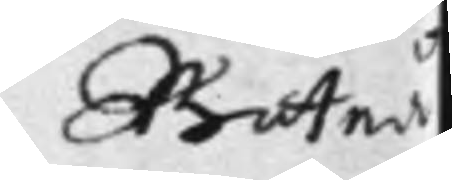Boteå
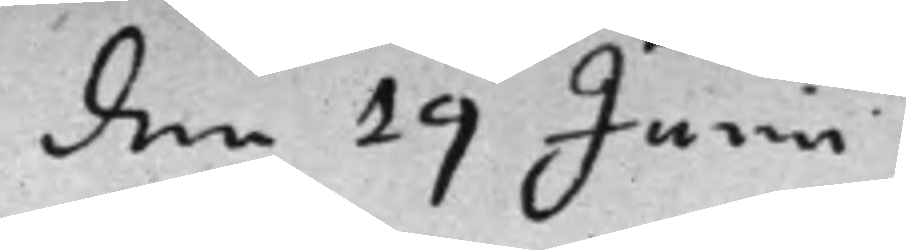den 19 Junii
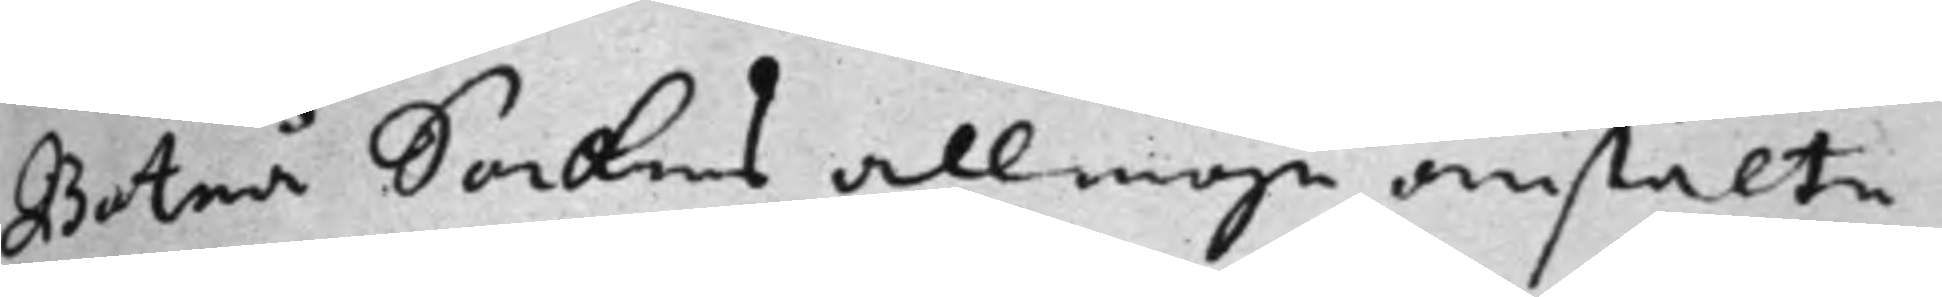Boteå Sockens allmoge anstälte
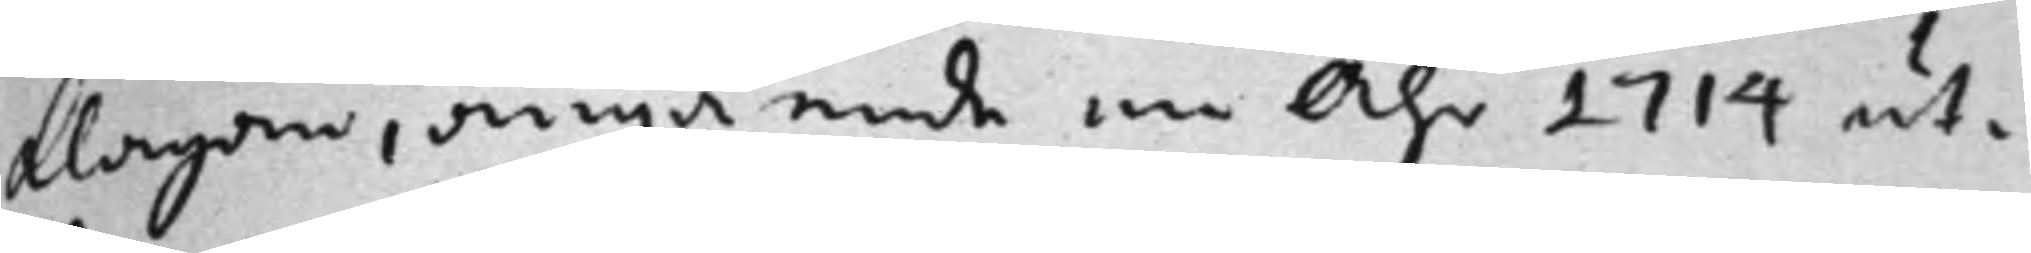klagan, angående en Åhr 1714 ut¬
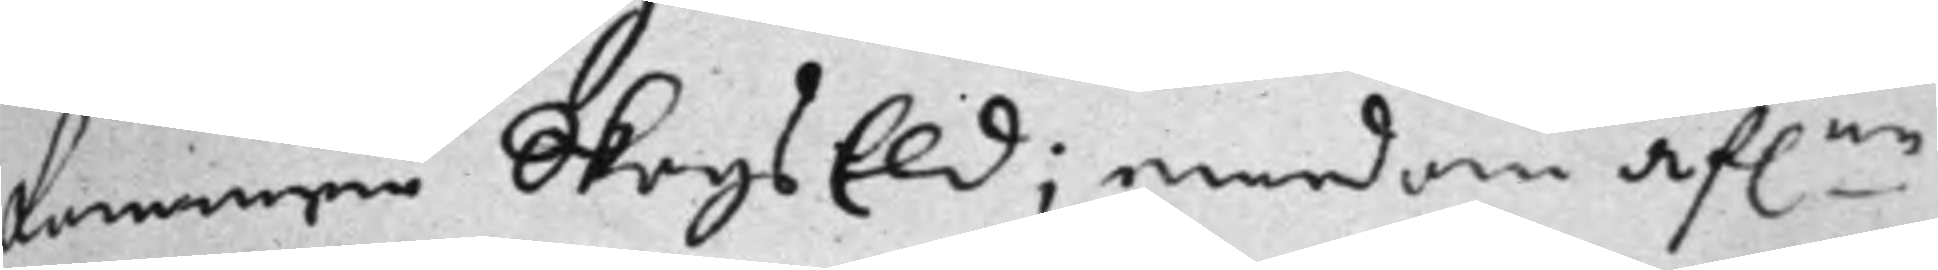kommen Skogs Eld; emedan af.ne
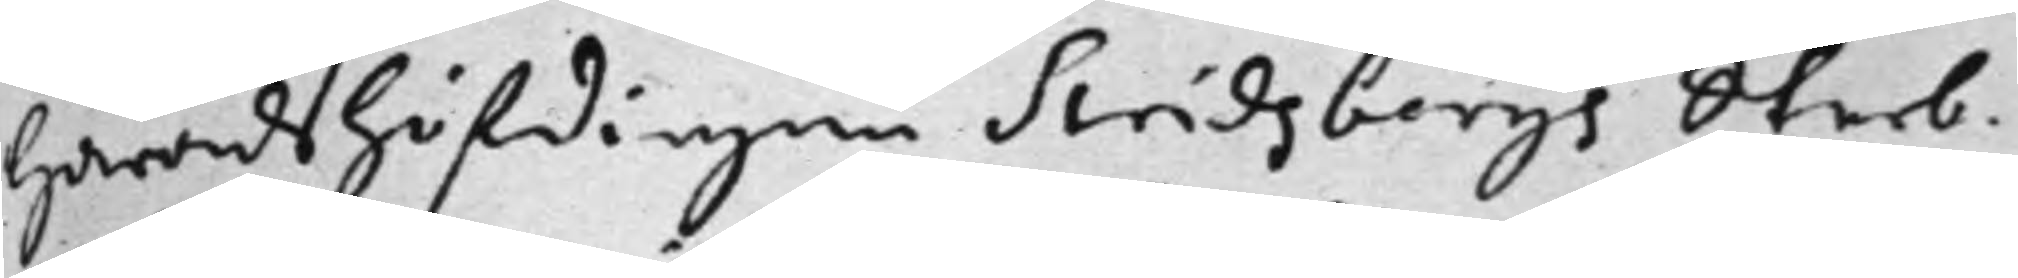Häradshöfdingen Stridsbergs Sterb¬
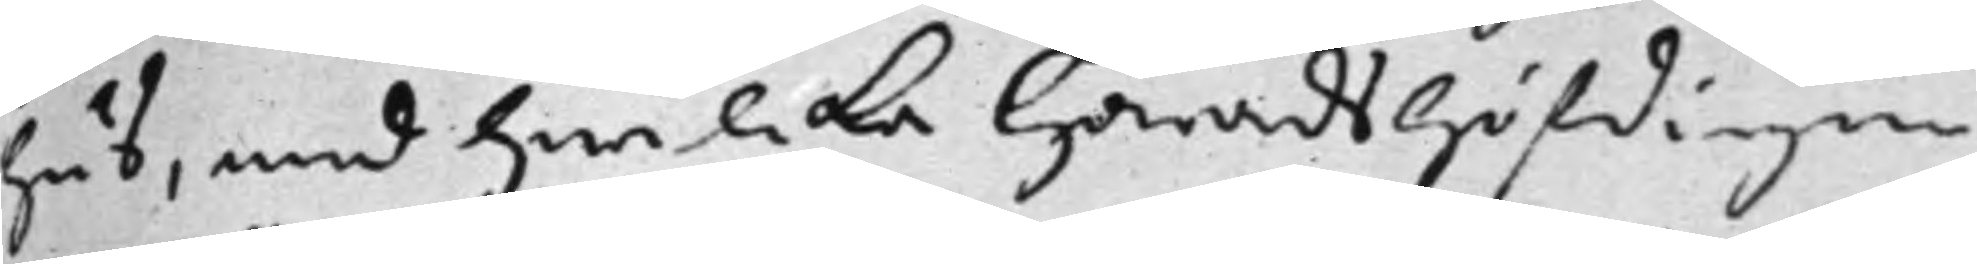hus, med hwilcka Häradshöfdingen
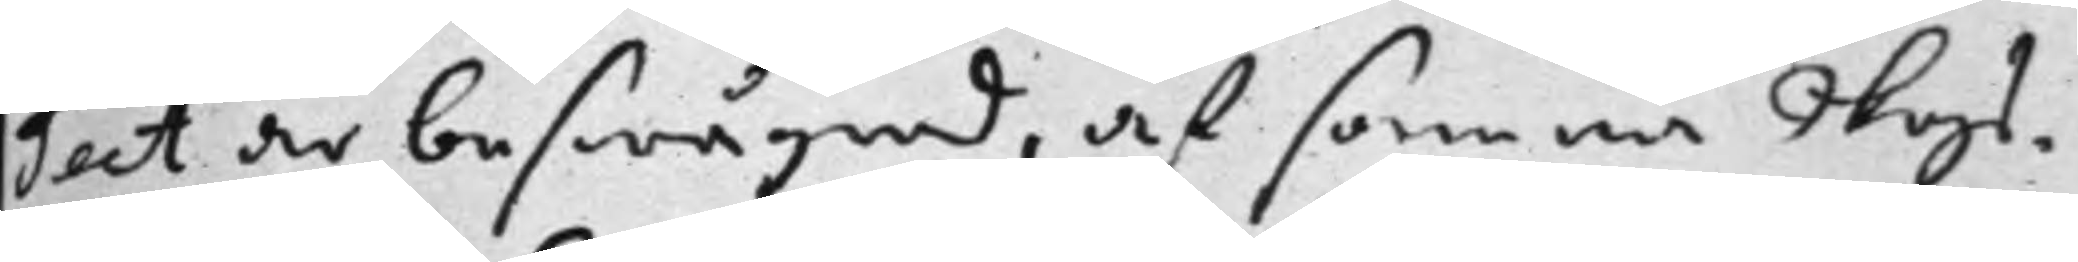Teet är beswågrad, af samma Skogs¬
